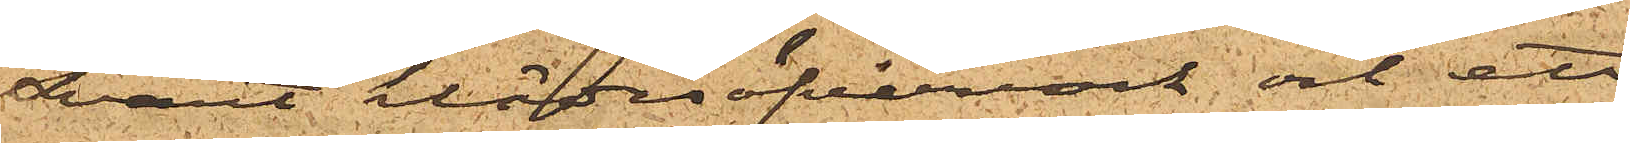svart klädesöfverrock och ett
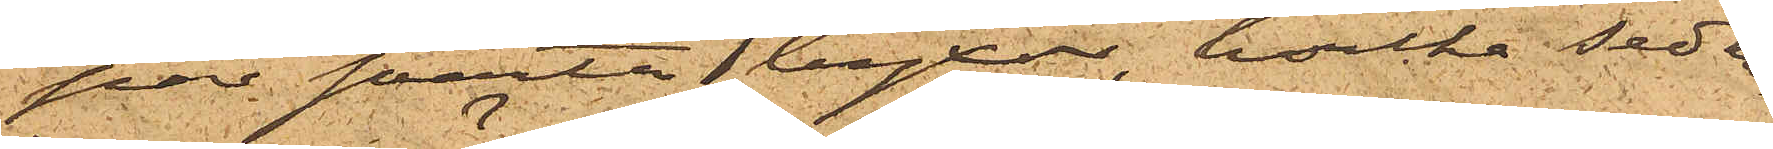par svarta byxor, hvilka sedna¬
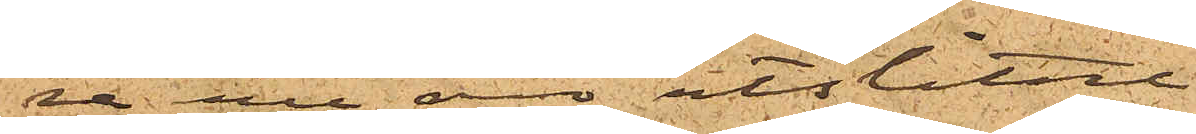re nu äro utslitne.
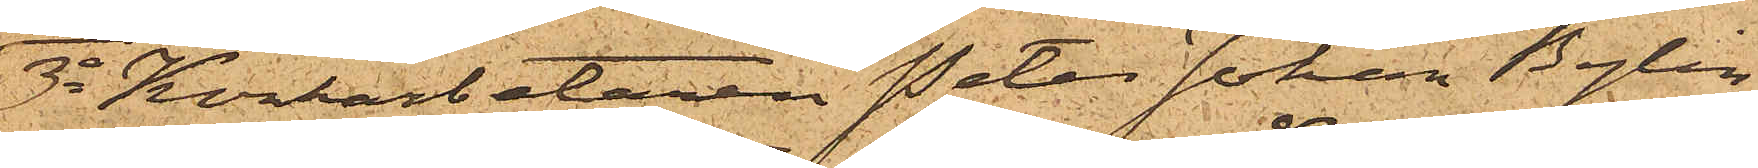3o Korkarbetaren Peter Johan Bylin
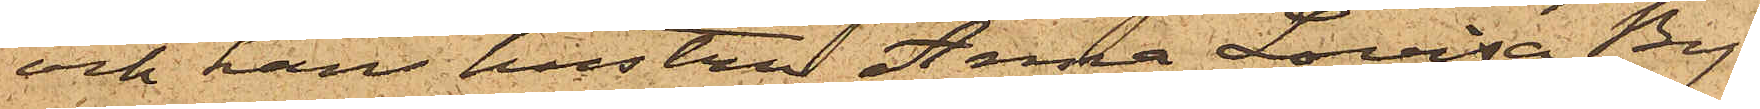och hans hustru Anna Lovisa By¬
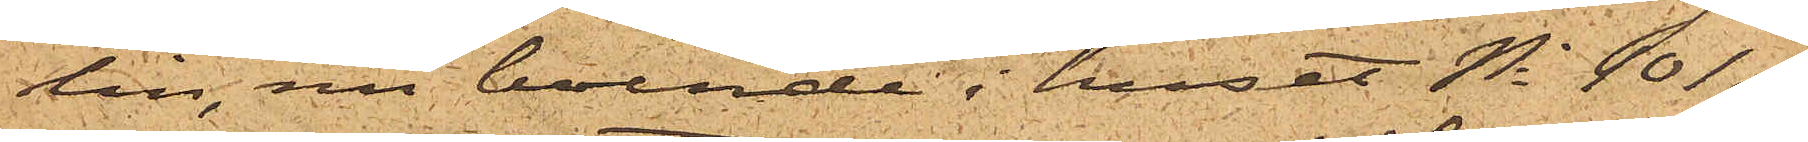lin, nu boende i huset No 101 af
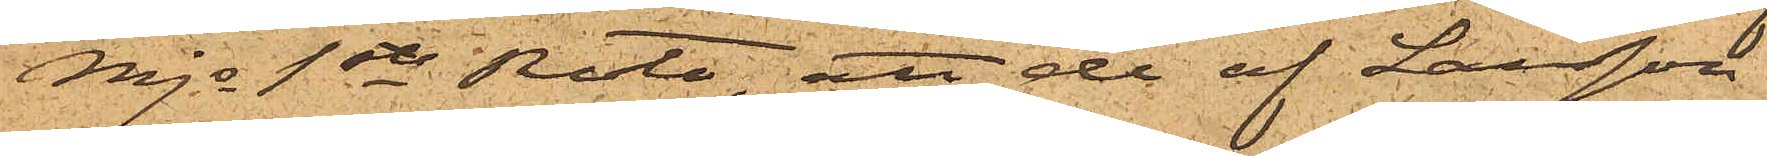Mjs 1ste Rote, att de af Larsson
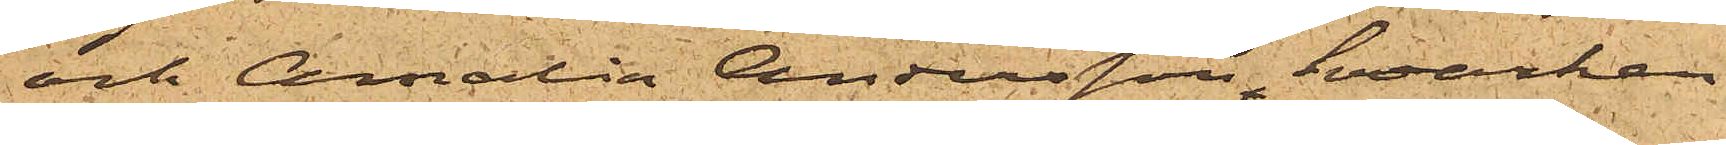och Amalia Andersson hvarken
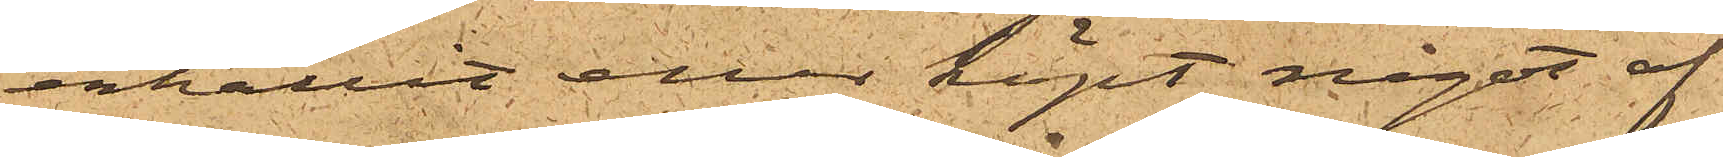erhållit eller köpt något af
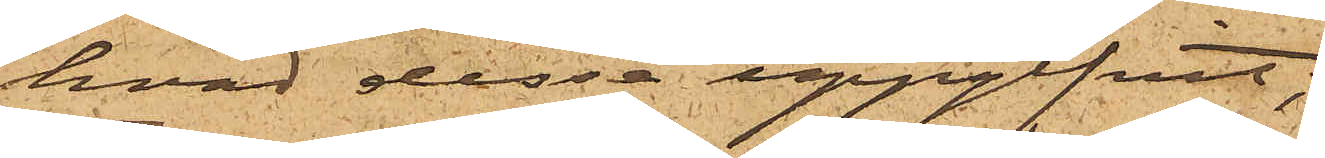hvad dessa uppgifvit;
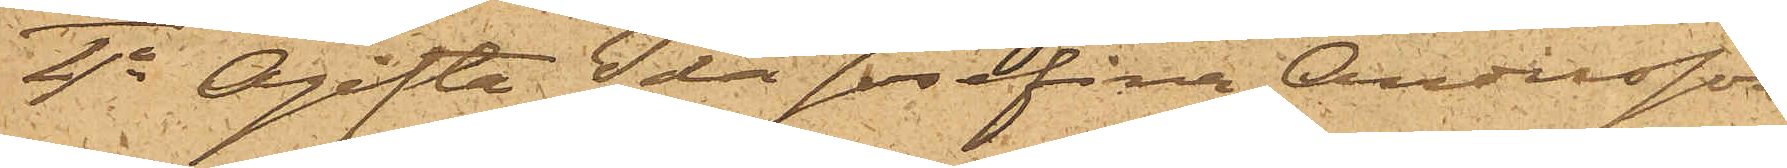4o Ogifta Ida Josefina Andersson
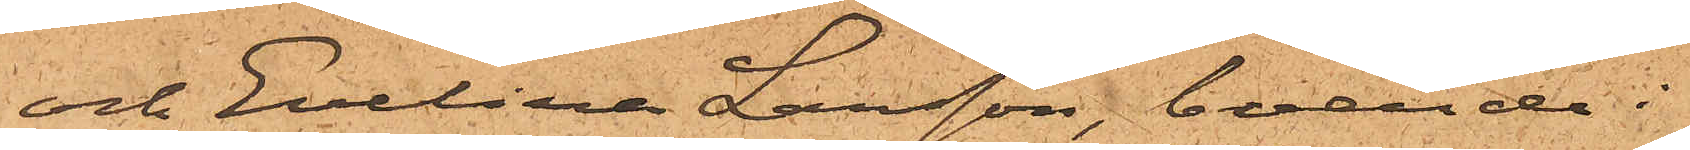och Evelina Larsson, boende i
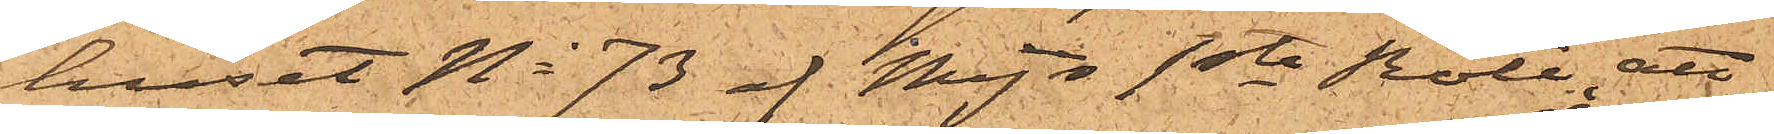huset No 73 af Mjs 1ste Rote, att
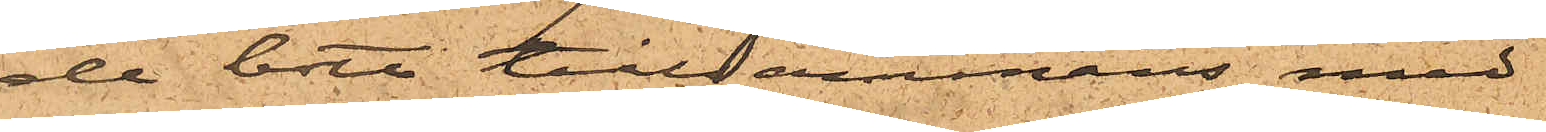de bott tillsammans med
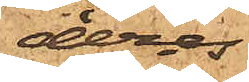deras
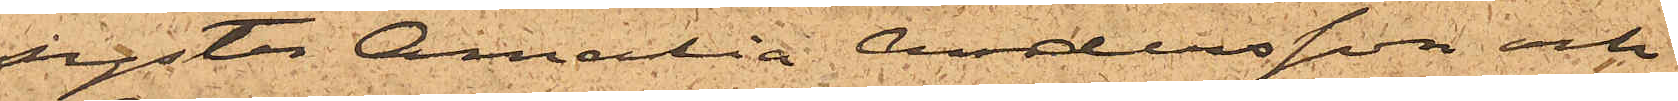syster Amalia Andersson och
